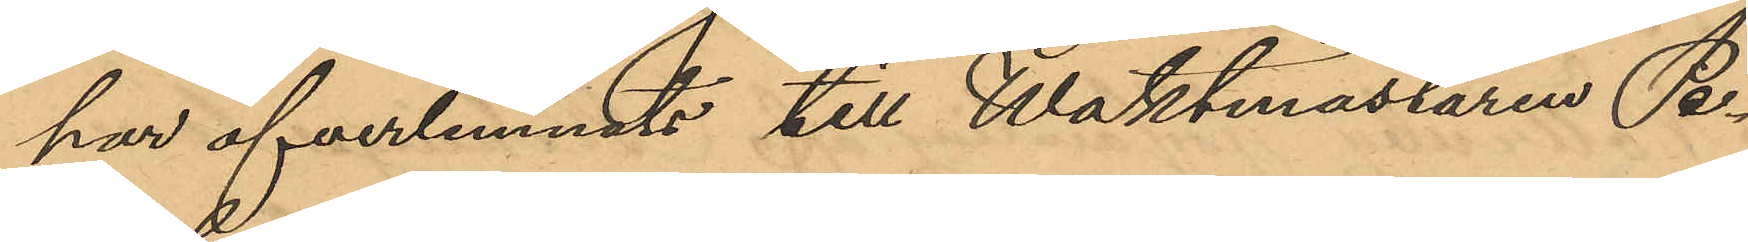har öfverlemnats till Waktmästaren Pe¬
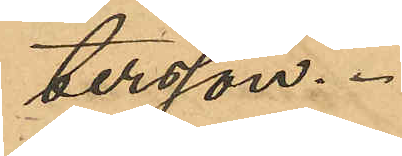tersson.
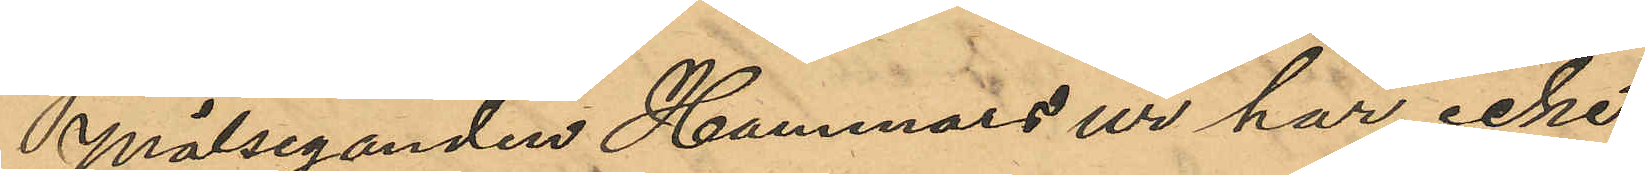Målseganden Hammars ur har icke
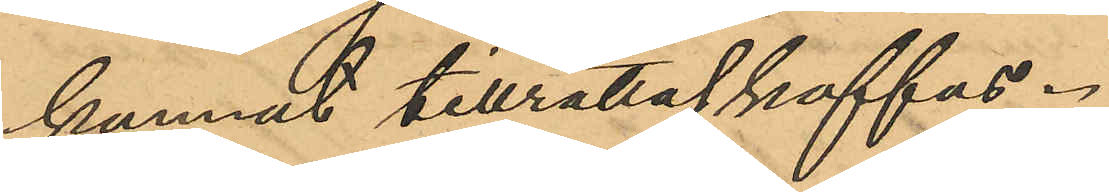kunnat tillrättaskaffas.
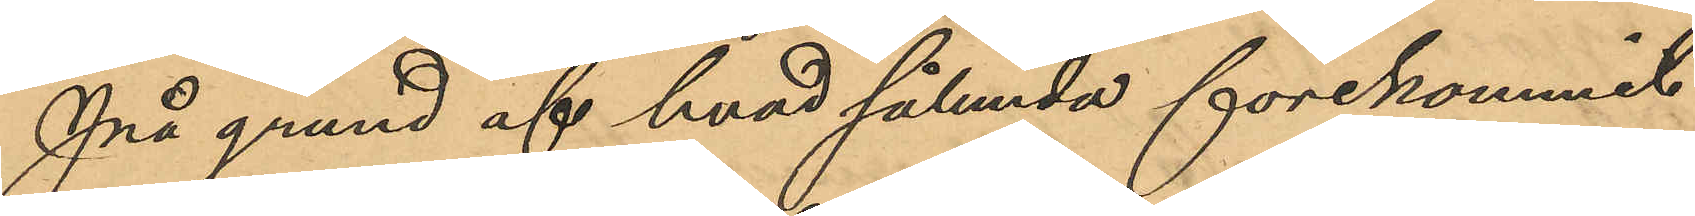På grund af hvad sålunda förekommit
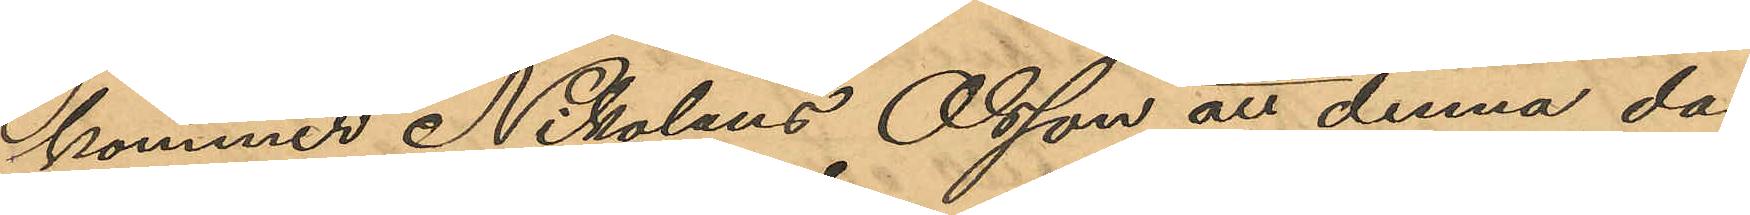kommer Nikolaus Olsson att denna dag
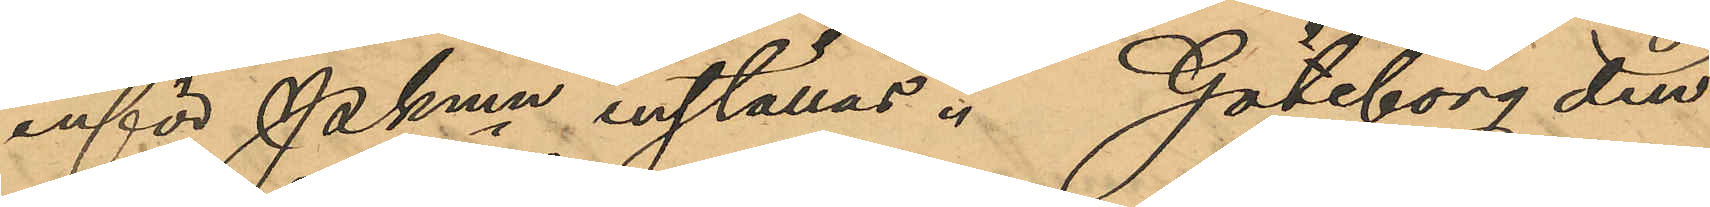inför Pkmn inställas. Göteborg den
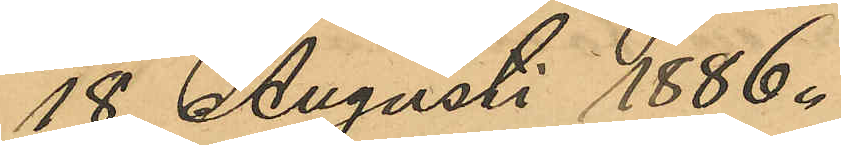18 Augusti 1886.
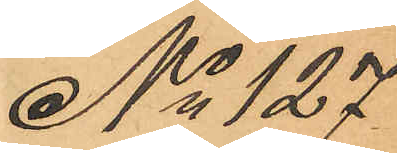No 127
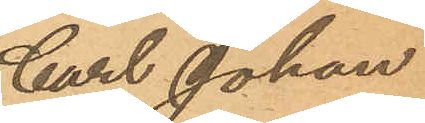Carl Johan
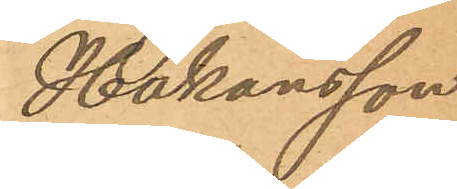Håkansson.
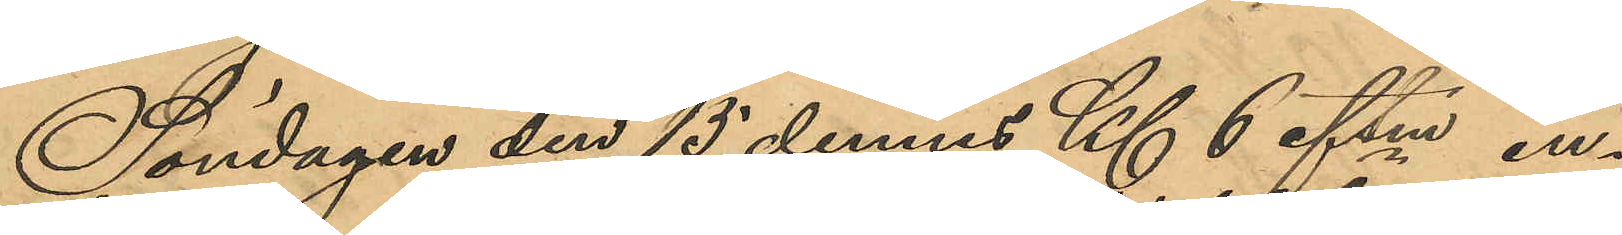Söndagen den 15 dennes Kl 6 eftm in¬
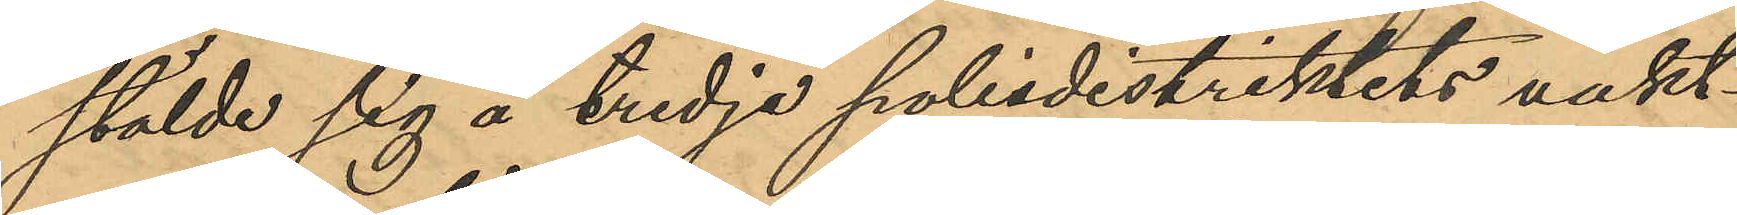stälde sig å tredje polisdistriktets vakt¬
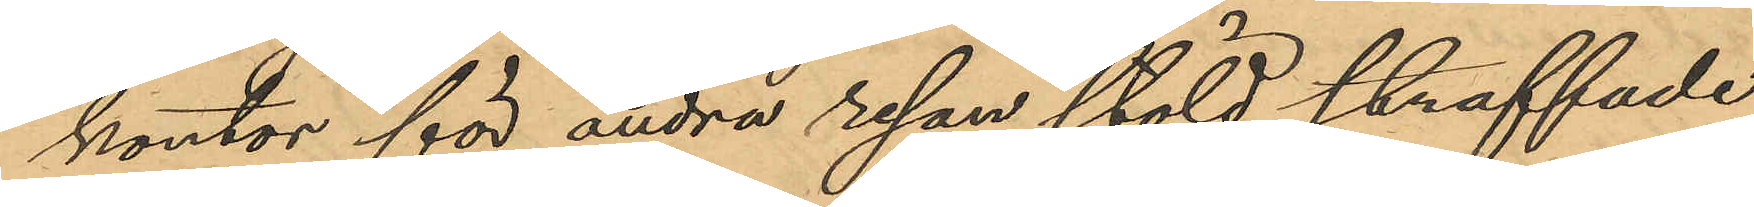kontor för andra resan stöld straffade
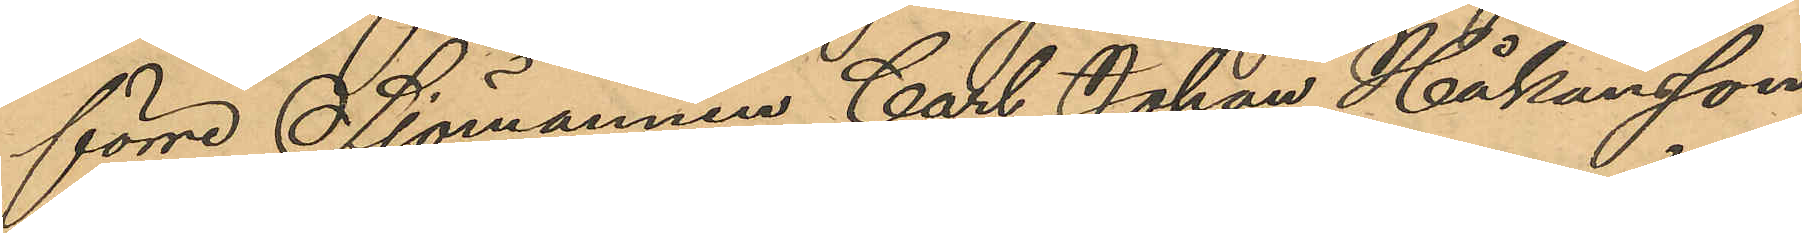förre Sjömannen Carl Johan Håkansson
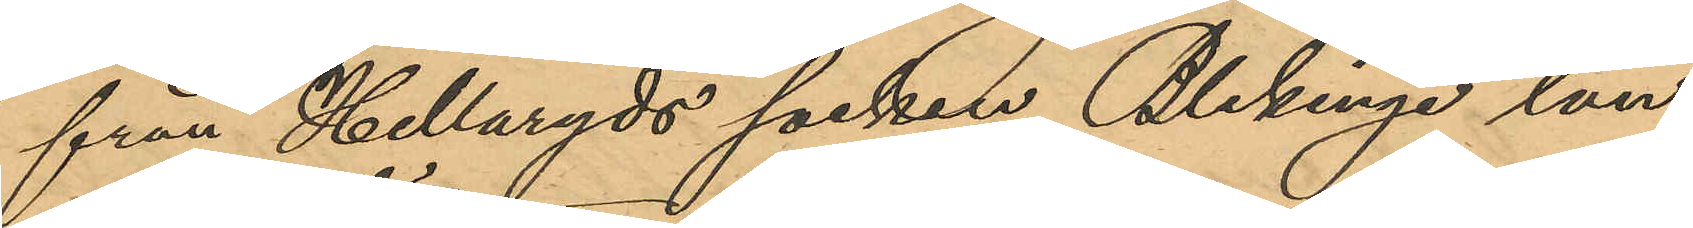från Hellaryds socken Blekinge län,
